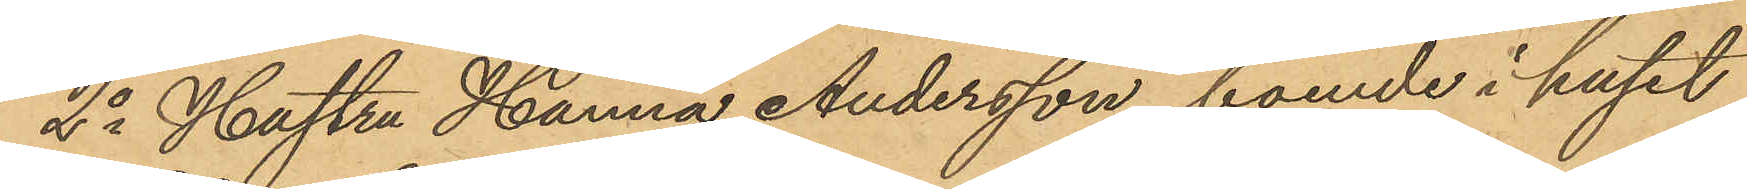2o Hustru Hanna Andersson, boende i huset
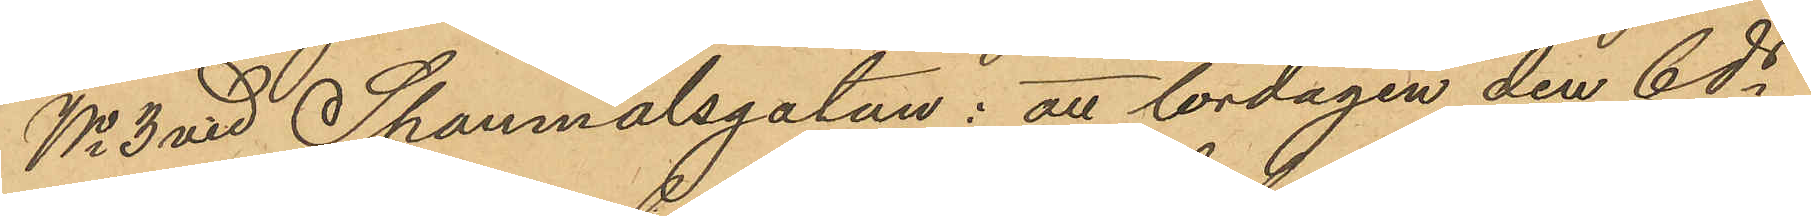No 3 vid Spanmålsgatan: att lördagen den 6 ds
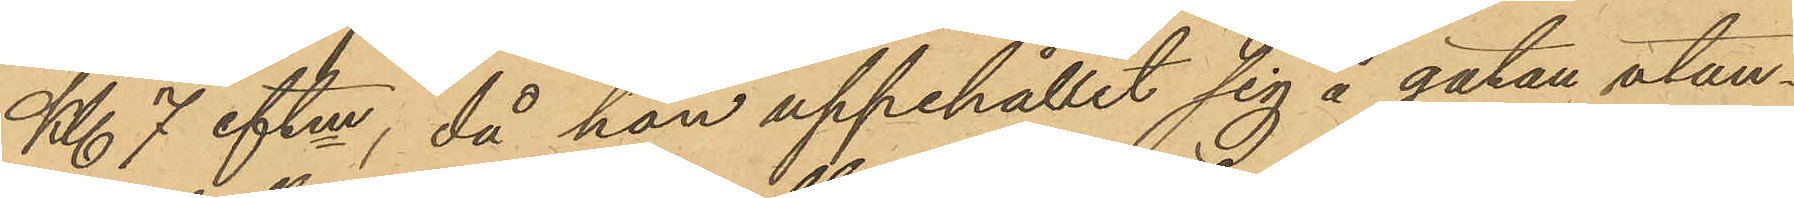Kl. 7 eftm, då han uppehållit sig å gatan utan¬
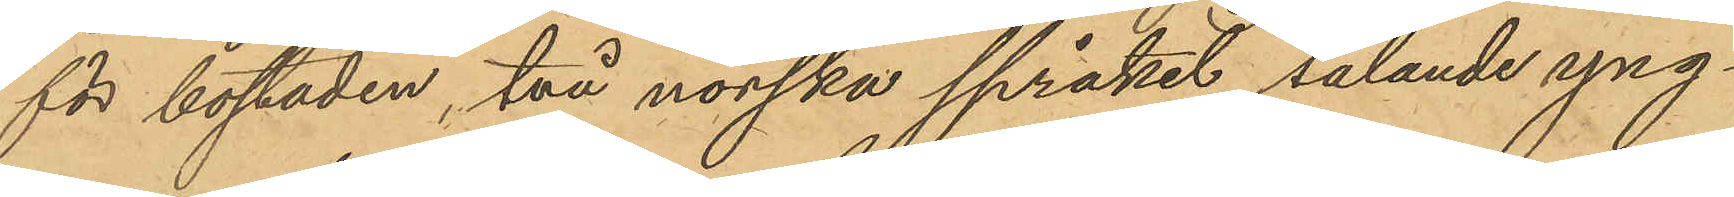för bostaden, två norska språket talande yng¬
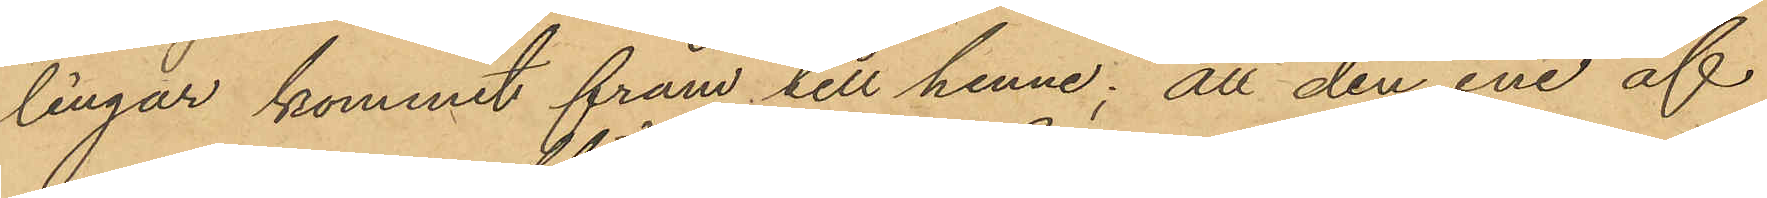lingar kommit fram till henne; att den ene af
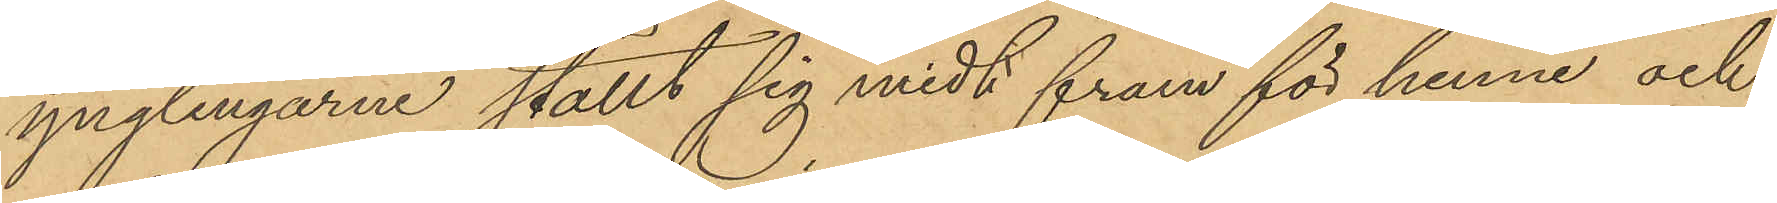ynglingarne ställt sig midt fram för henne och
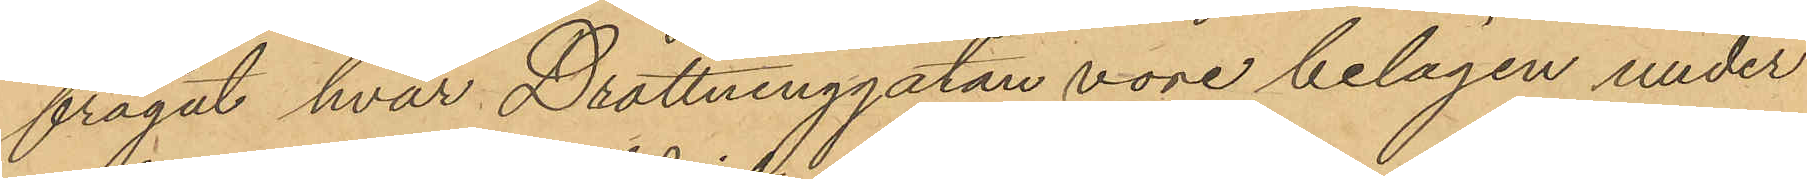frågat hvar Drottninggatan vore belägen under
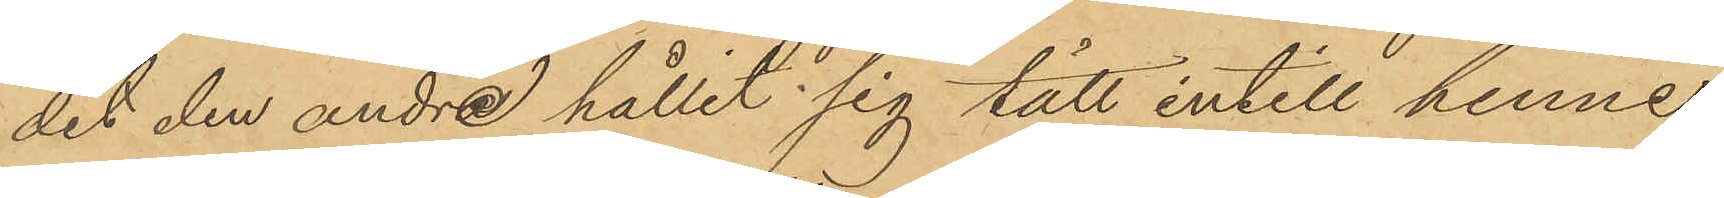det den andra hållit sig tätt intill hennes
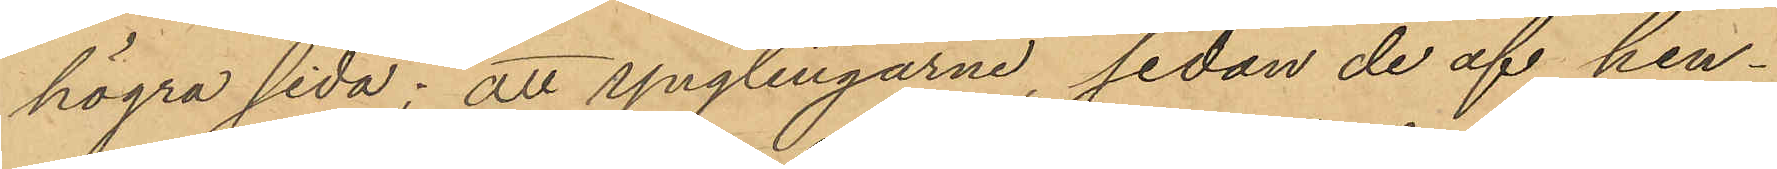högra sida; att ynglingarne, sedan de af hen¬
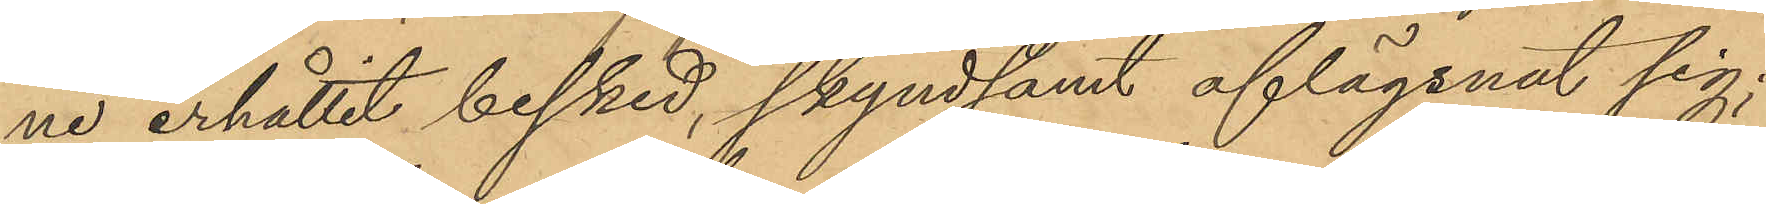ne erhållit besked, skyndsamt aflägsnat sig;
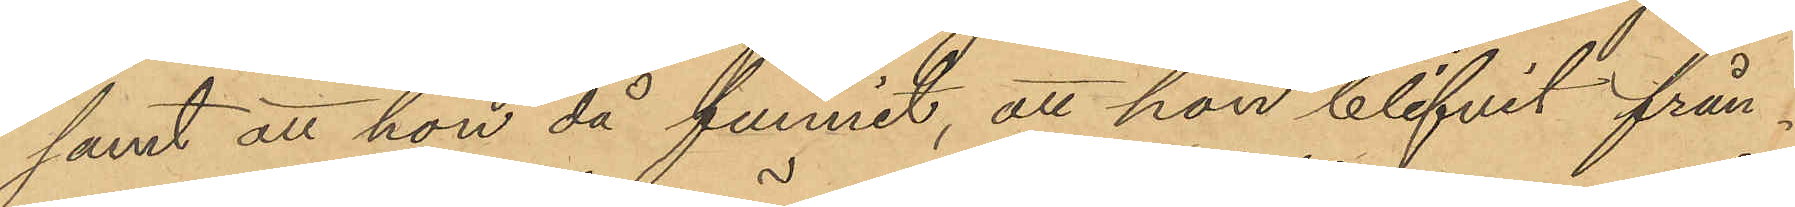samt att hon då funnit, att hon blifvit från¬
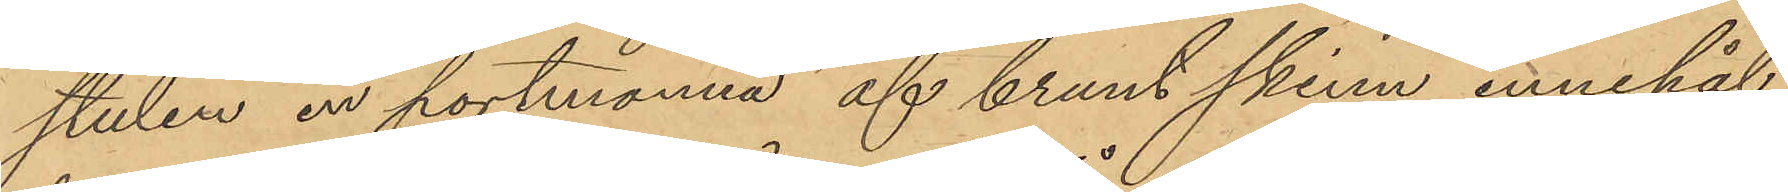stulen en portmonnä af brunt skinn, innehål¬
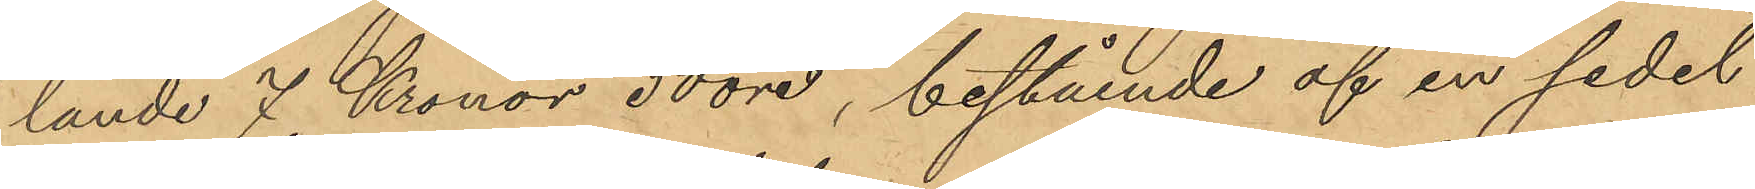lande 7 Kronor 50 öre, bestående af en sedel
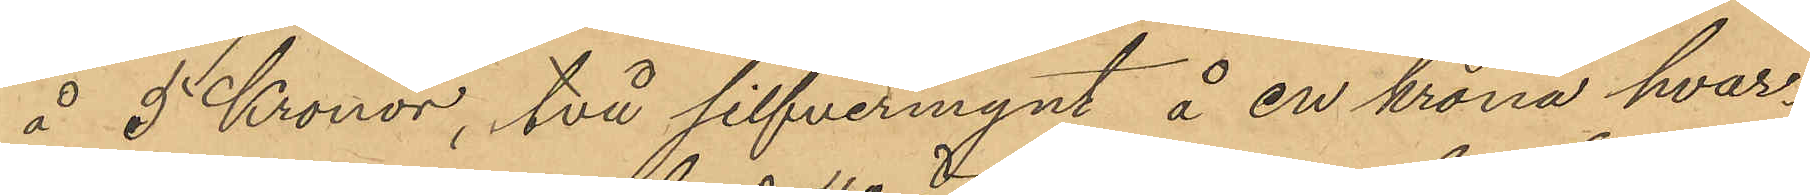å 5 Kronor, två silfvermynt å en krona hvar¬
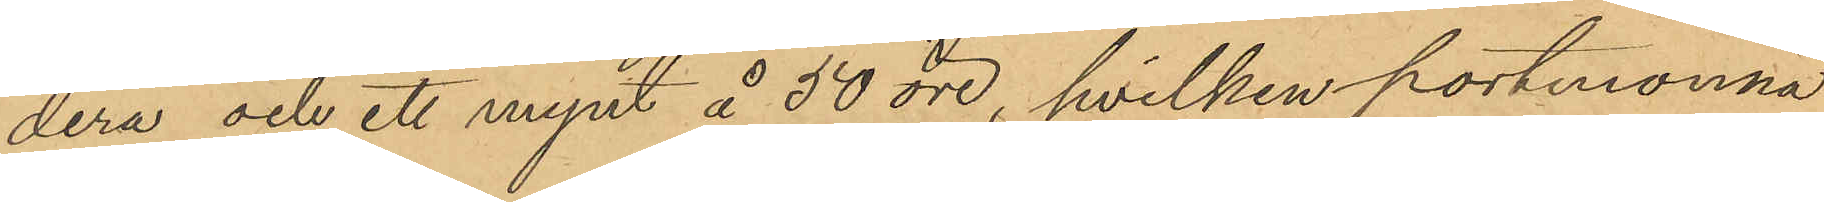dera och ett mynt å 50 öre, hvilken portmonnä
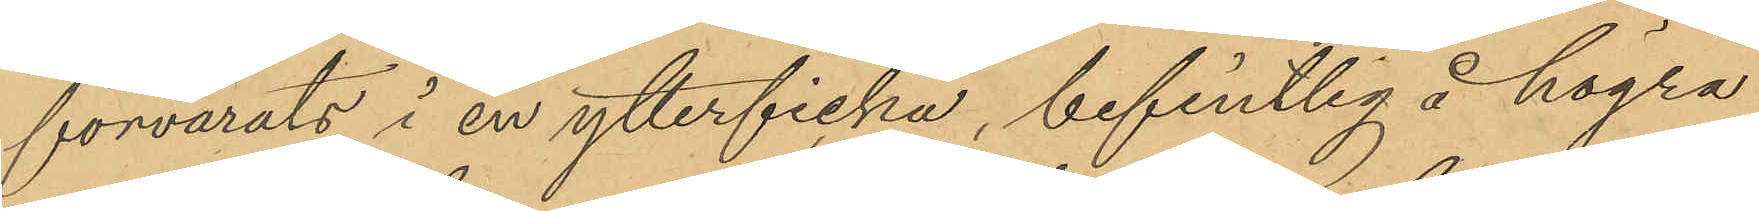förvarats i en ytterficka, befintlig å högra
